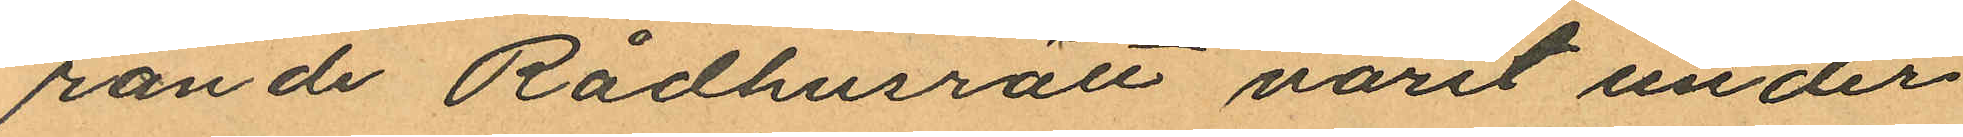rande Rådhusrätt varit under
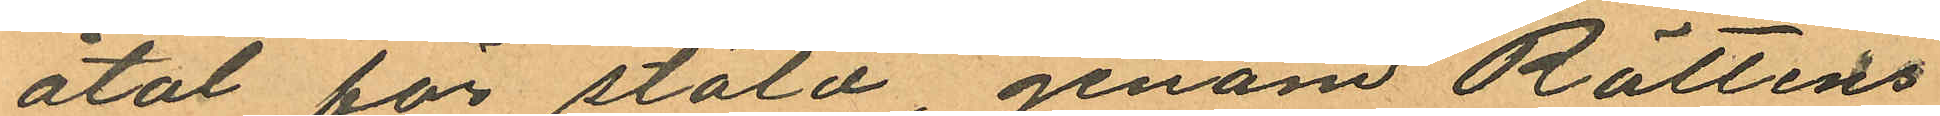åtal för stöld genom Rättens
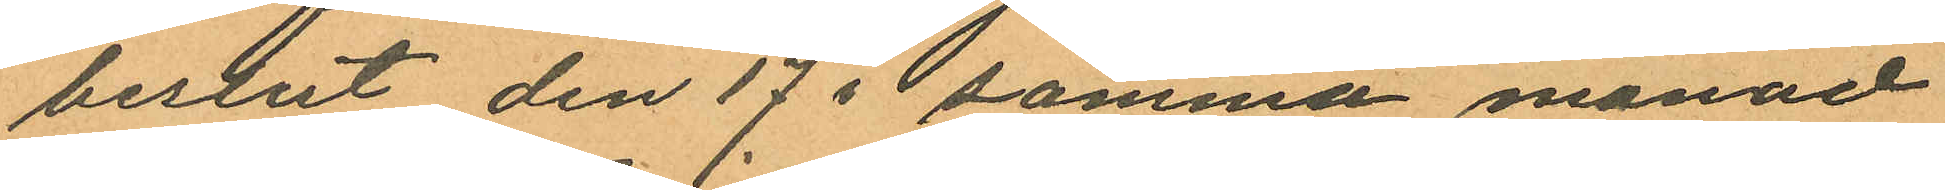beslut den 17 i samma månad
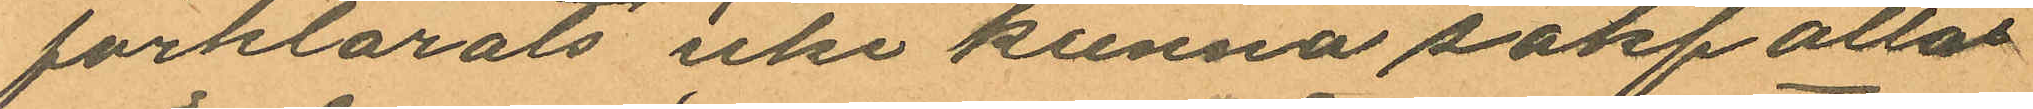förklarats icke kunna sakfällas
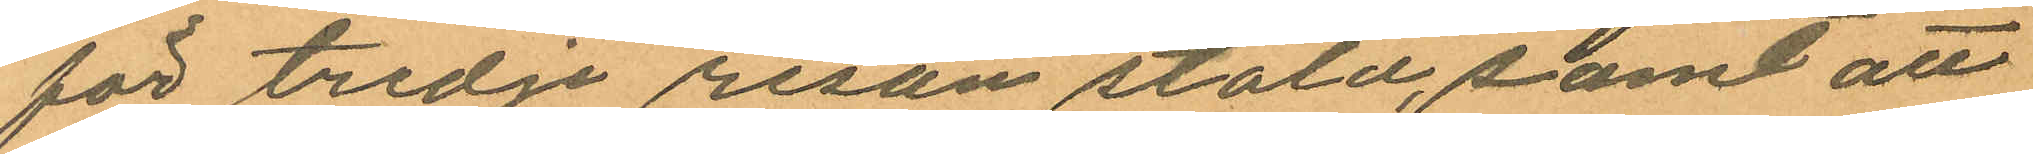för tredje resan stöld, samt att
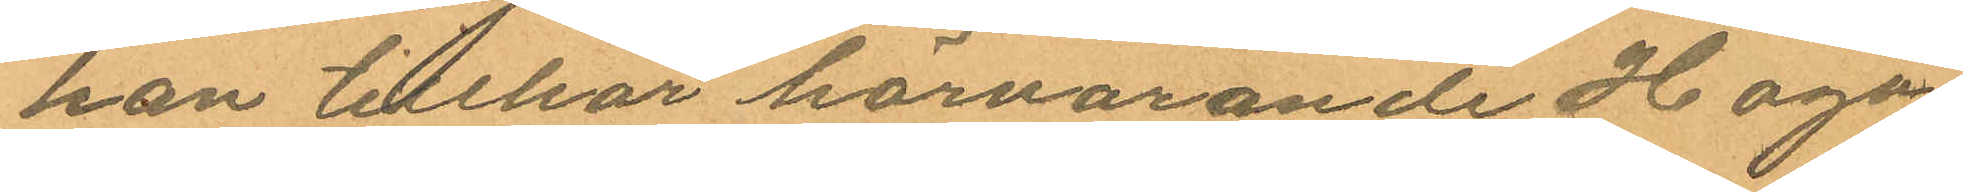han tillhör härvarande Haga
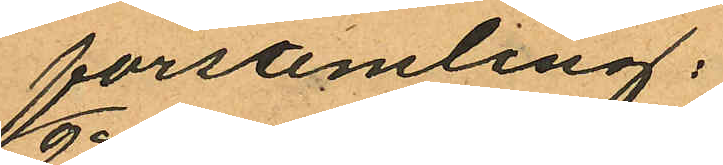församling;
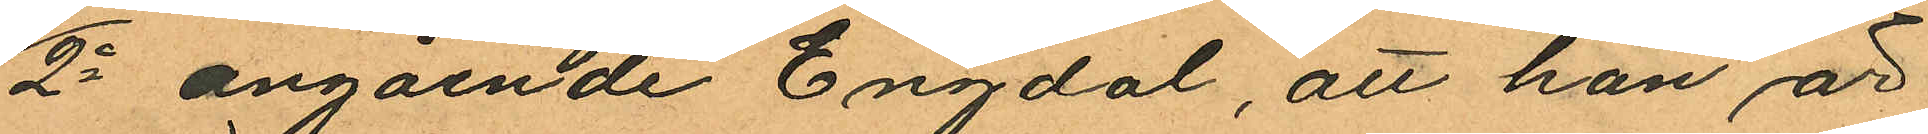2o angående Engdal, att han är
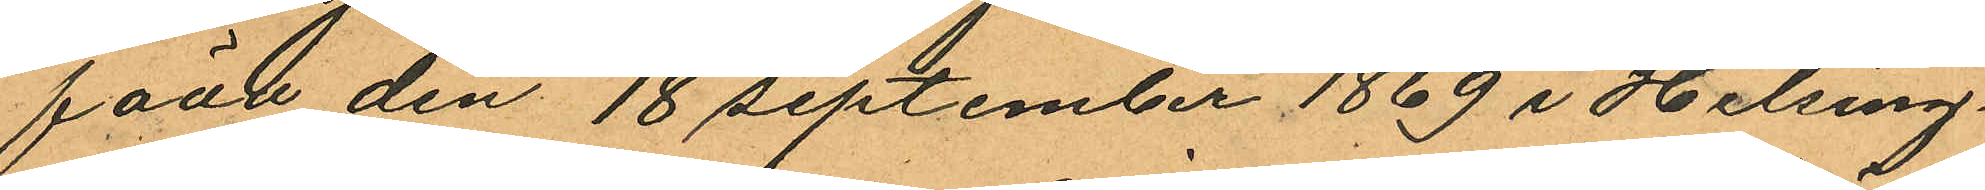född den 18 september 1869 i Helsing¬
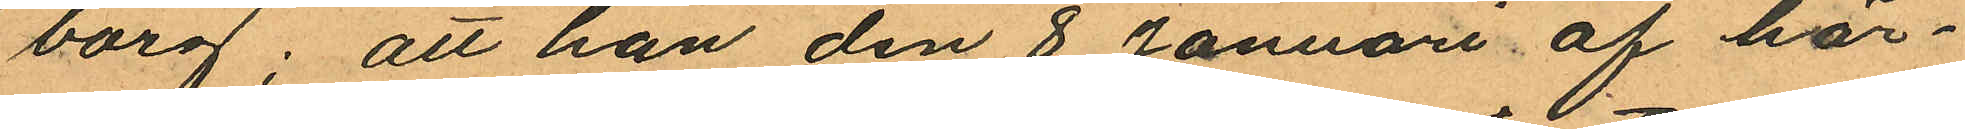borg; att han den 8 Januari af här¬
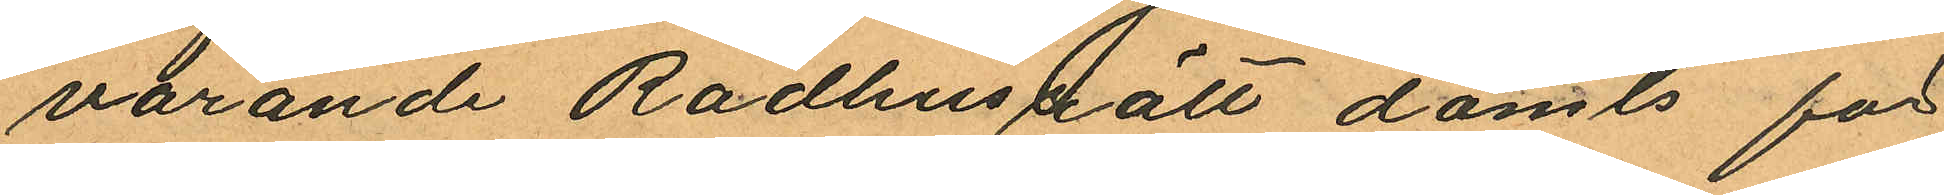varande Rådhusrätt dömts för
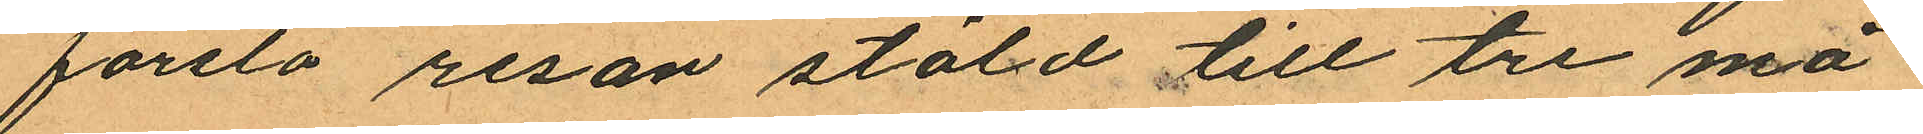första resan stöld till tre må¬
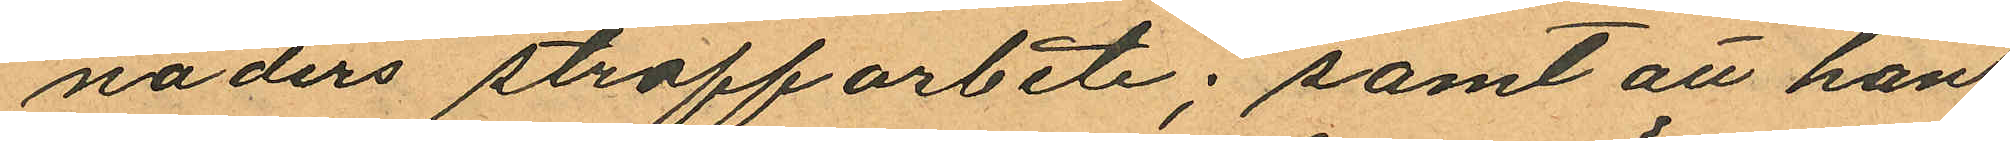naders straffarbete; samt att han
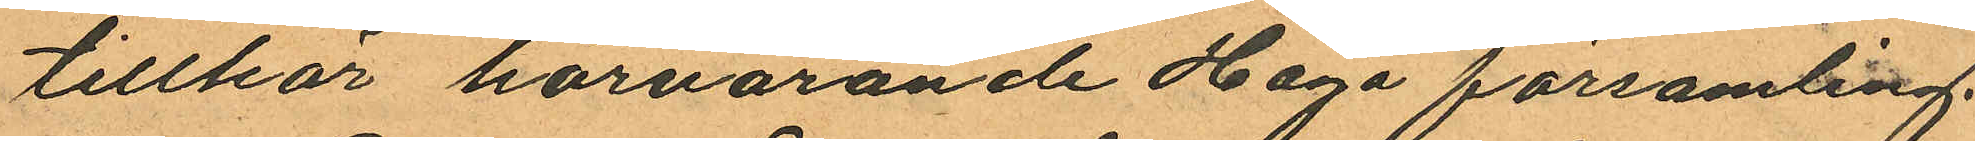tillhör härvarande Haga församling.
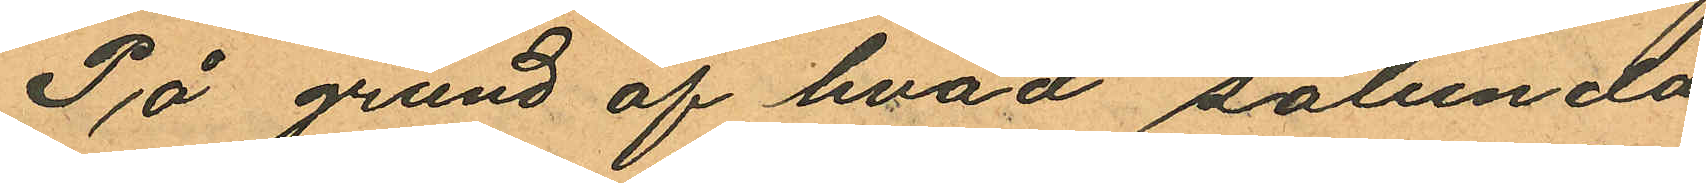På grund af hvad sålunda
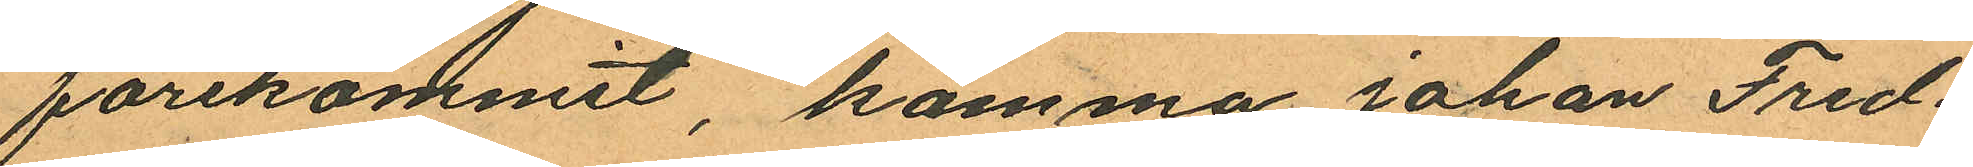förekommit, komma Johan Fred¬
